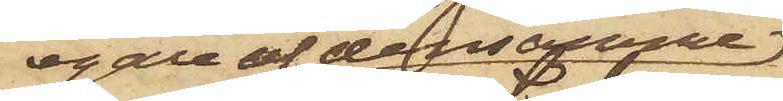egare af densamme
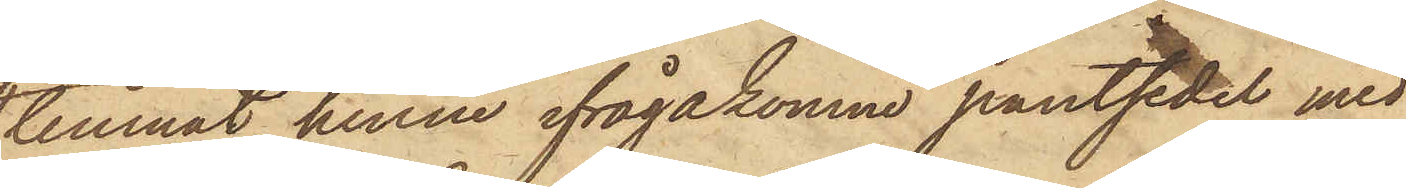lemnat henne ifrågakomne pantsedel med
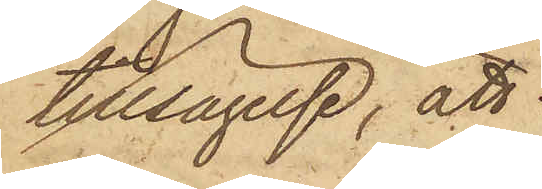tillsägelse, att
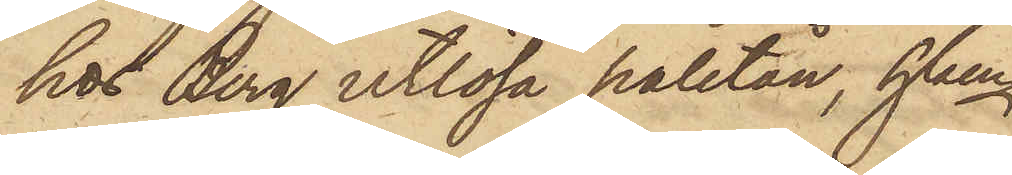hos Berg utlösa paletån, hken
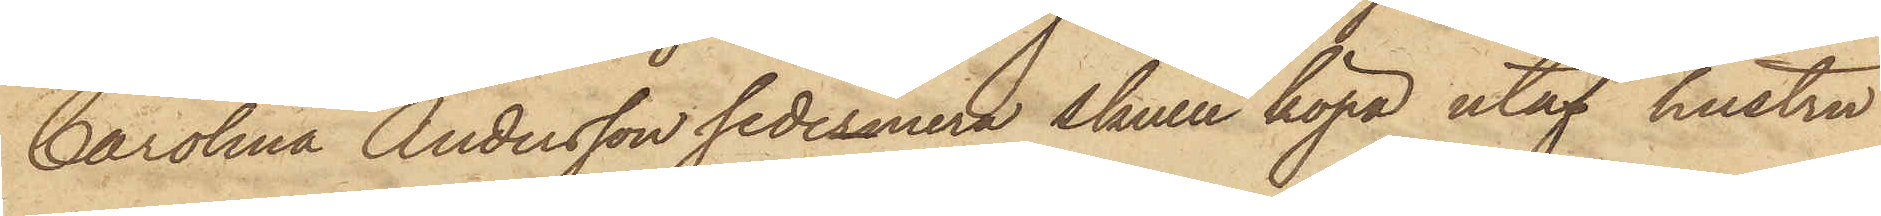Carolina Andersson sedermera skulle köpa utaf hustru
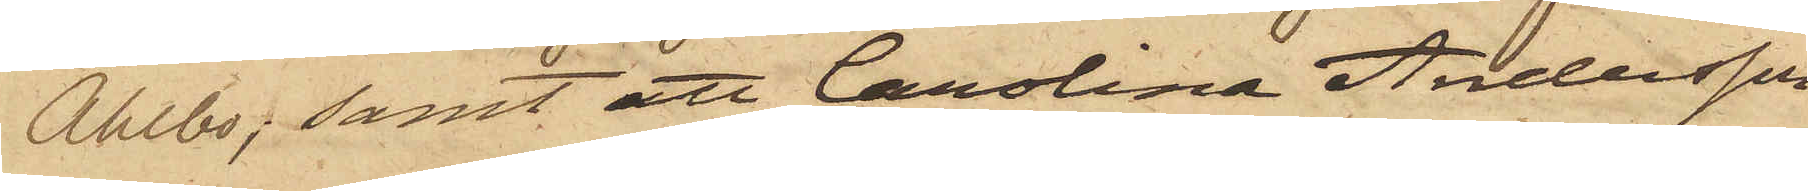Ahlbo; samt att Carolina Andersson
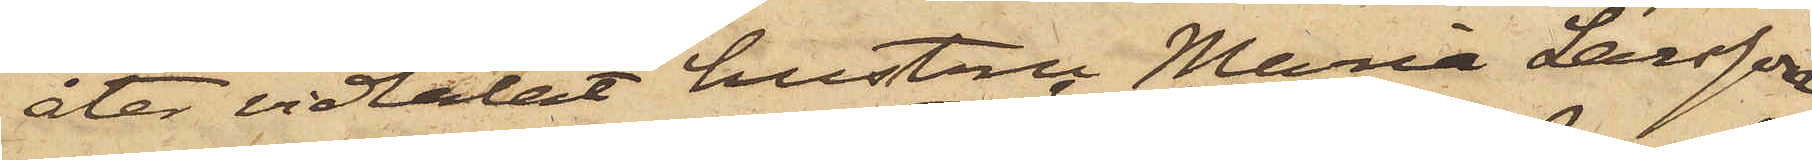åter vidtalat hustru Maria Larsson
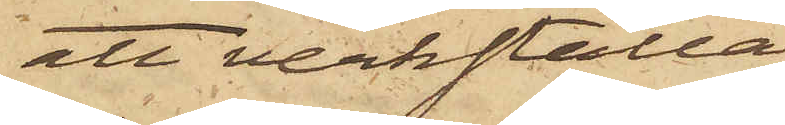att verkställa
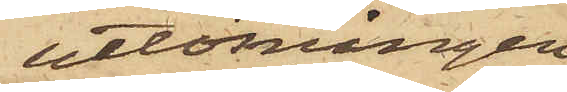utlösningen,
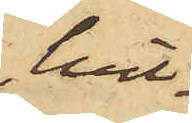hvil¬
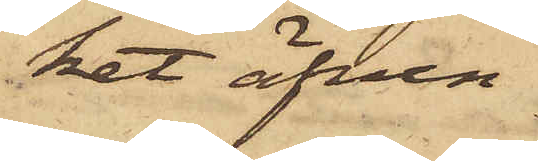ket äfven
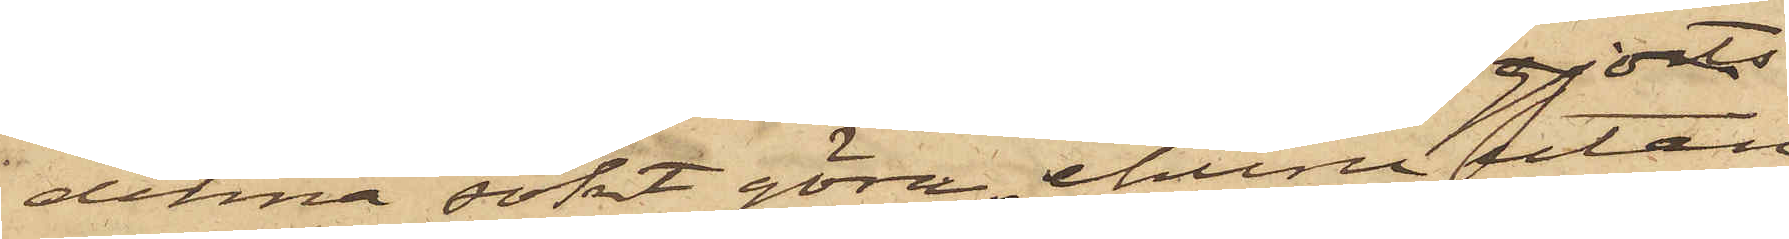denna sökt göra, ehuru utan
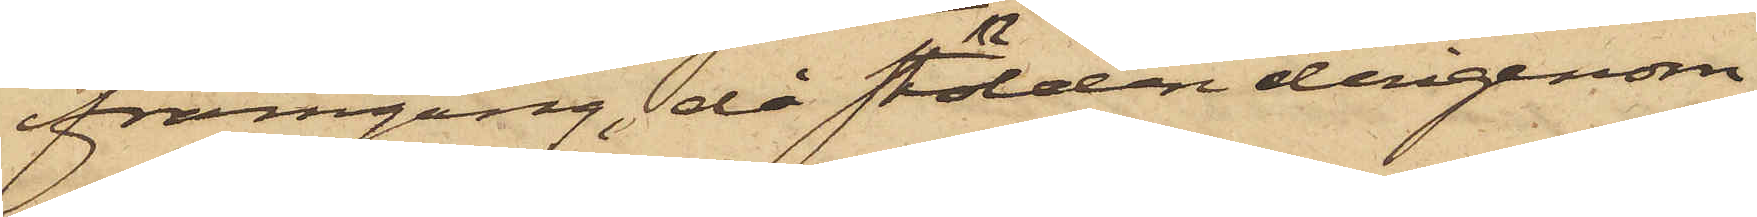framgång, då stölden derigenom
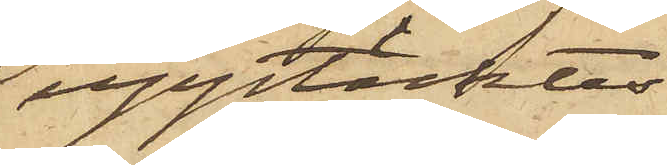upptäcktes.
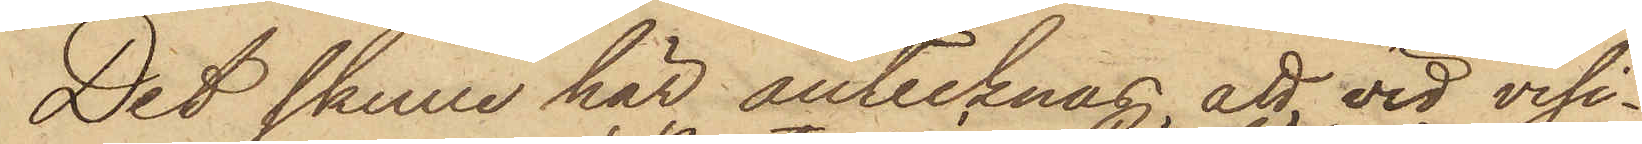Det skulle här antecknas, att, vid visi¬
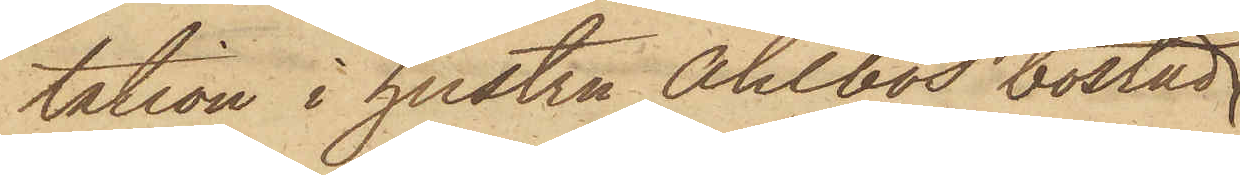tation i hustru Ahlbos bostad
